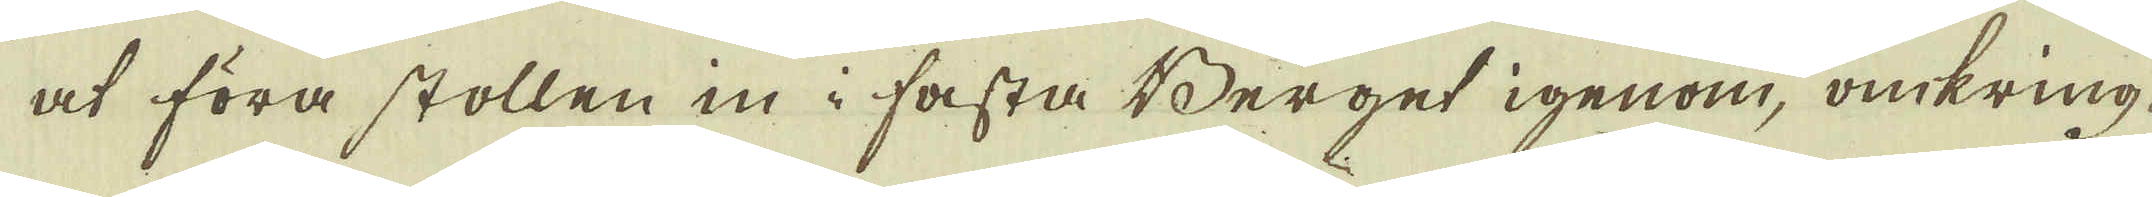at föra stollen in i fasta Berget igenom, omkring
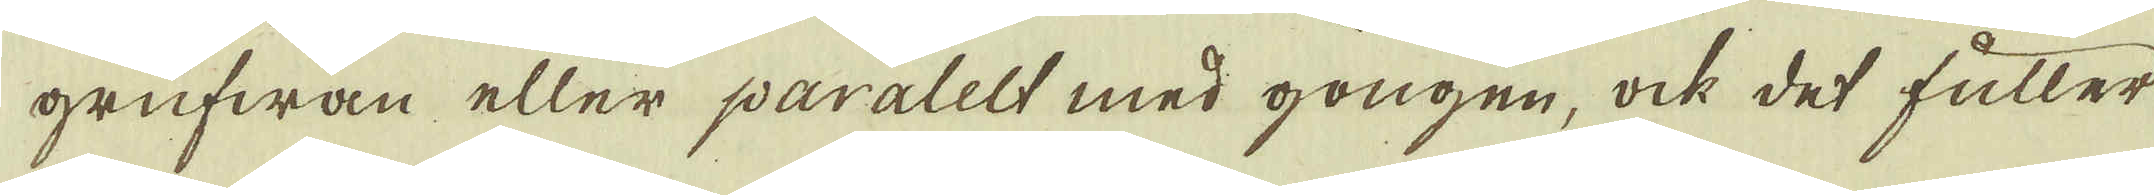grufwan eller paralelt med gongen, ock det fuller
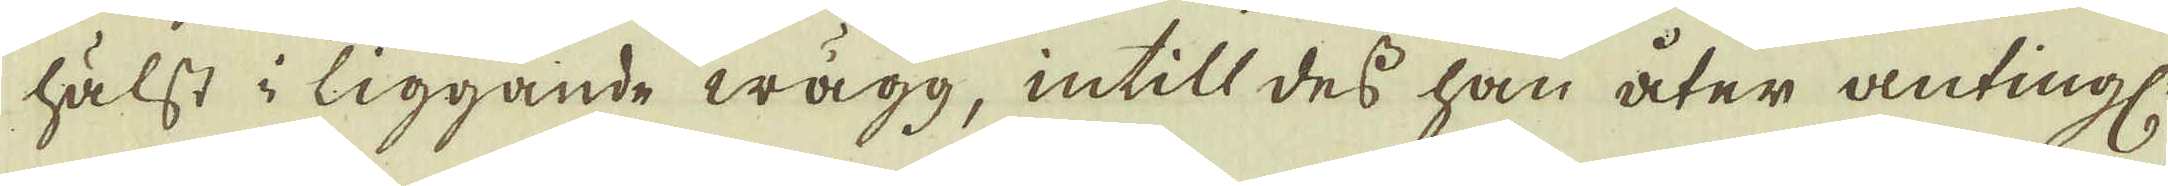hälst i liggande wägg, intill des han åter antingl
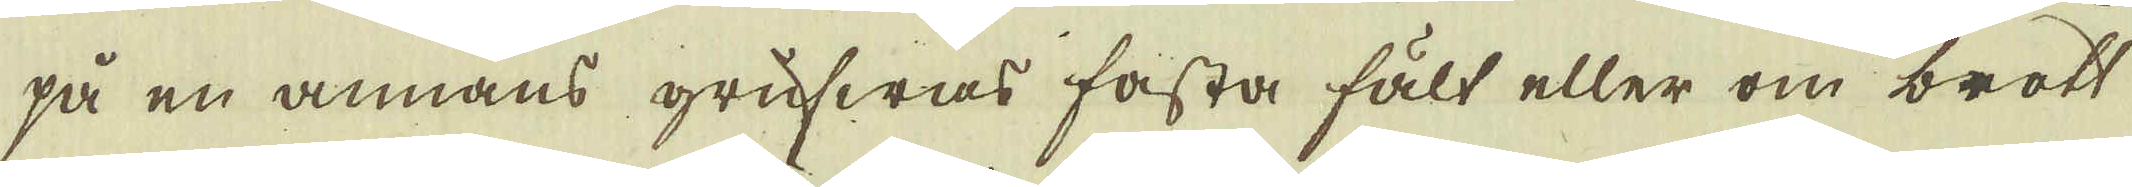på en annans grufwas fasta fält eller om brott
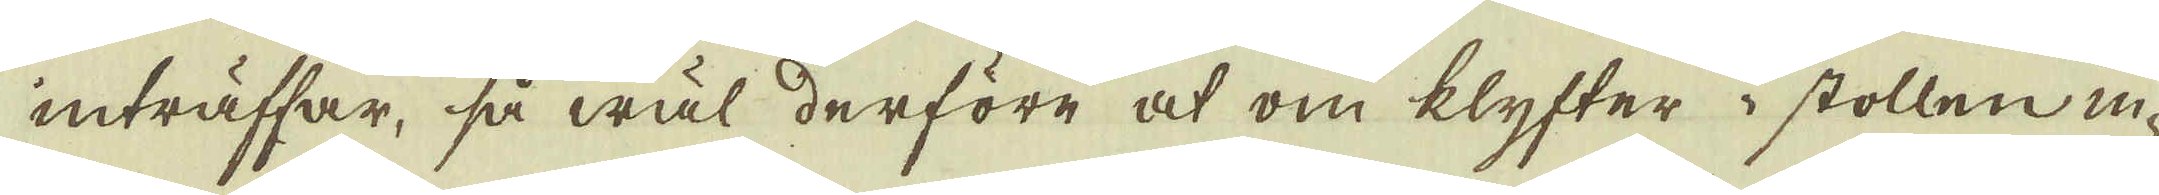inträffar, så wäl derföre at om klyfter i stollen in-
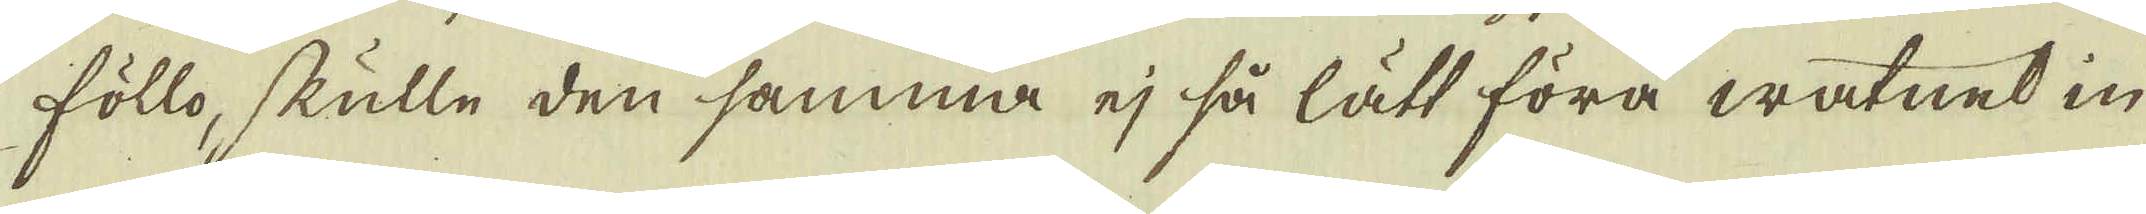föllo, skulle den samma ej så lätt föra watnet in-
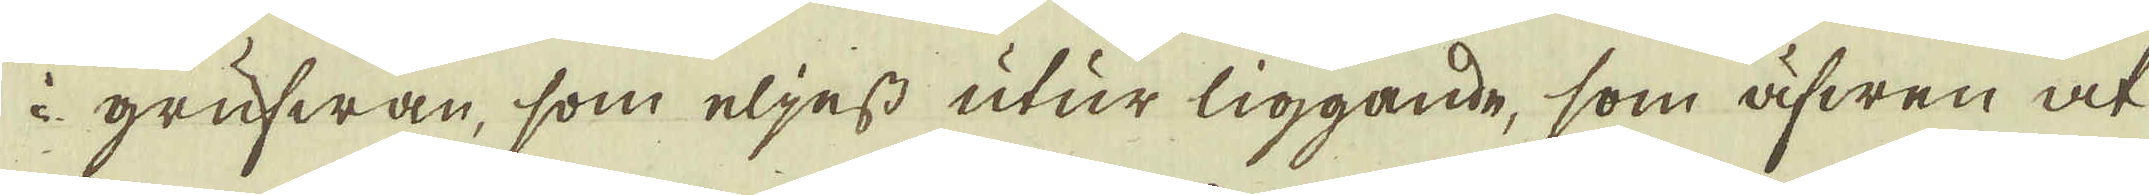i grufwan, som eljest utur liggande, som äfwen at
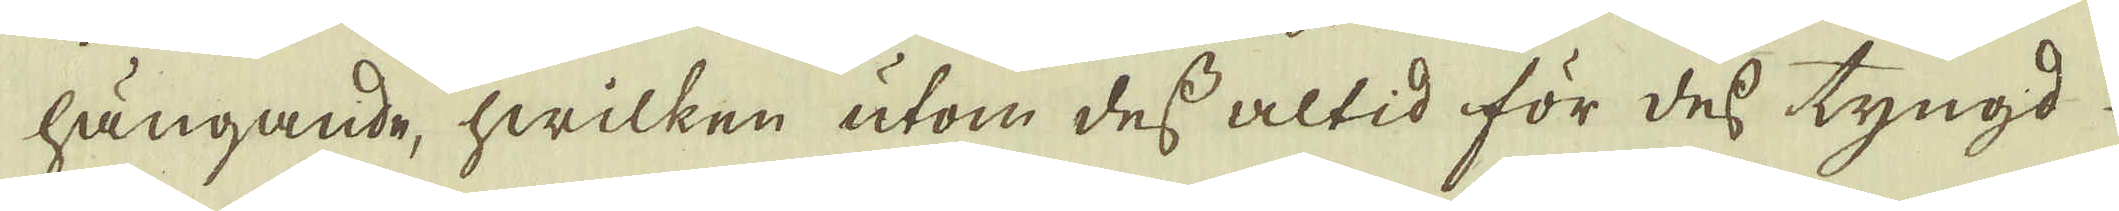hängande, hwilken utom des altid för des tyngd
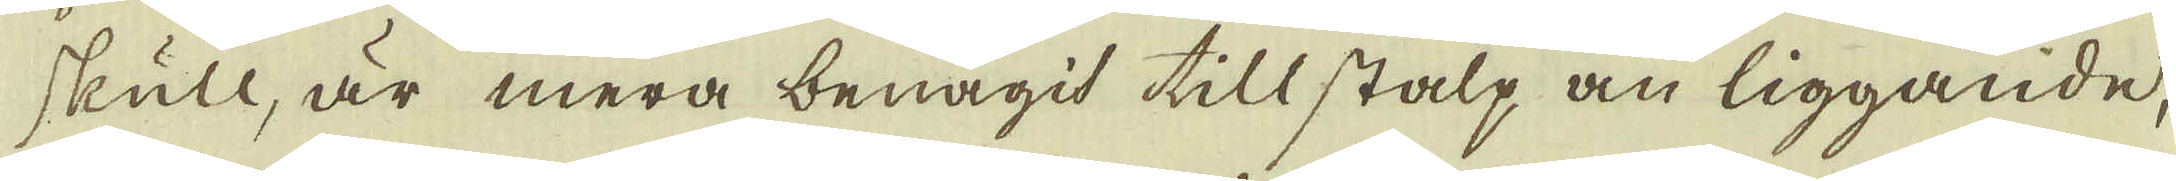skull, är mera benägit till stalp än liggande,
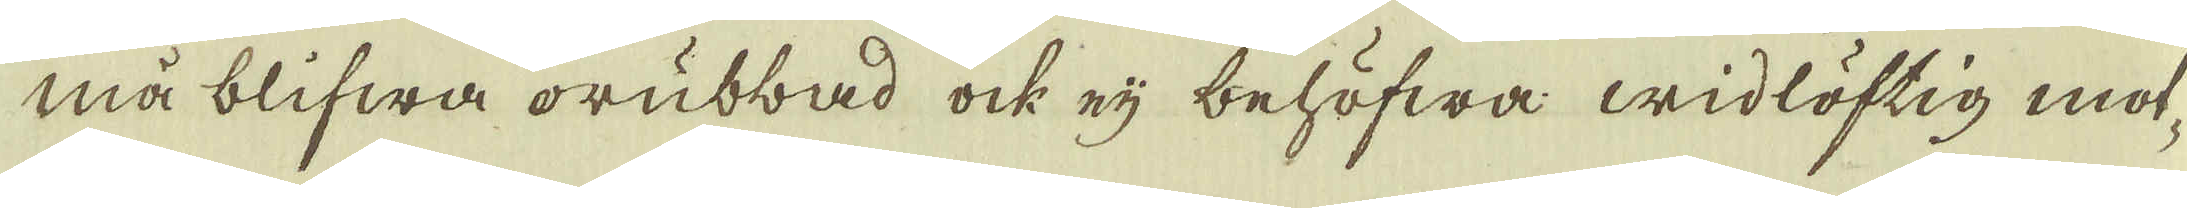må blifwa orubbad ock eij behöfwa widlöftig mot-
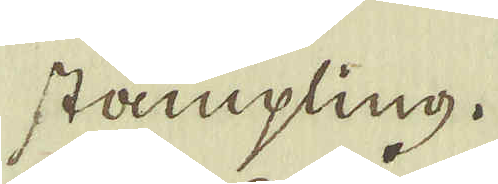stämpling.
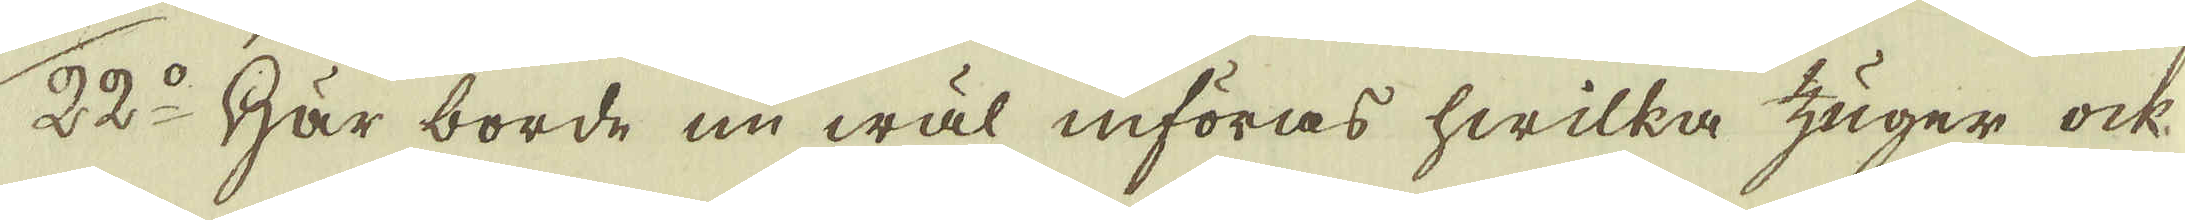22:o Här borde nu wäl införas hwilka zuger ock
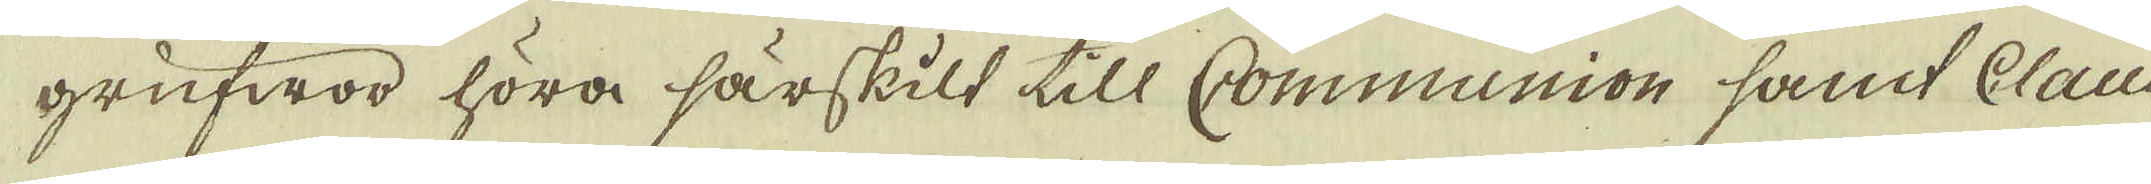grufwod höra särskilt till Communion samt Claus-
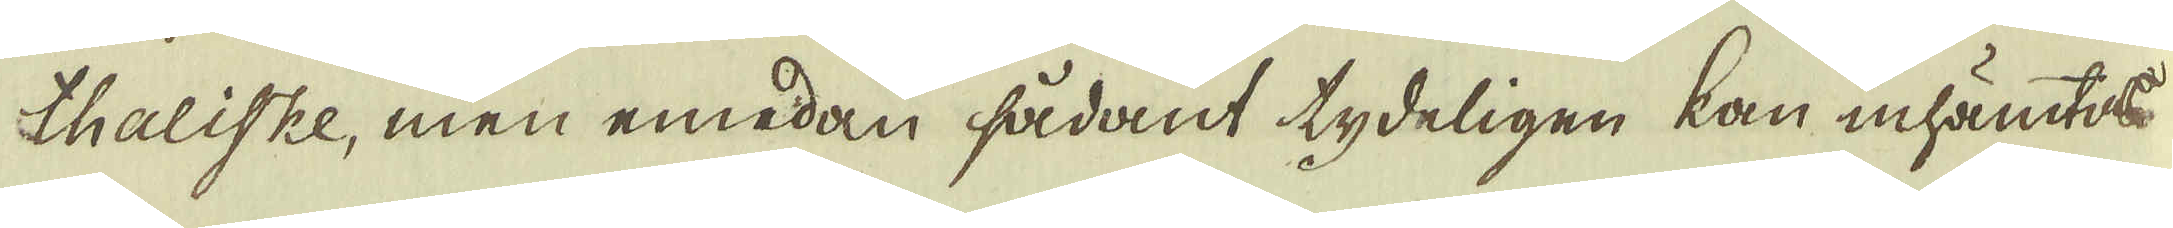thaliske, men emedan sådant tydeligen kan inhämtas
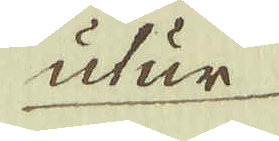utur
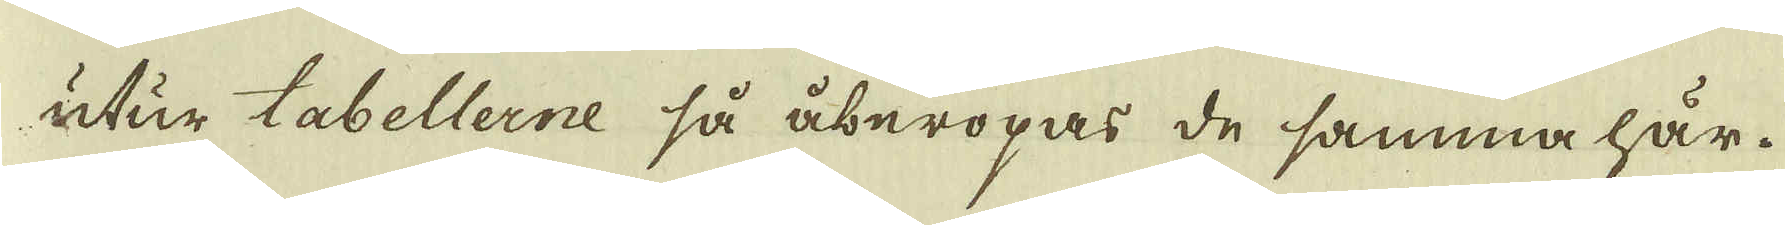utur tabellerne så åberopas de samma här.
